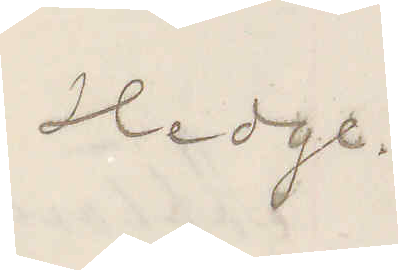Hedge.
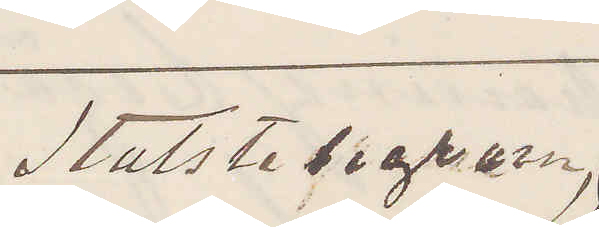Statstelegram
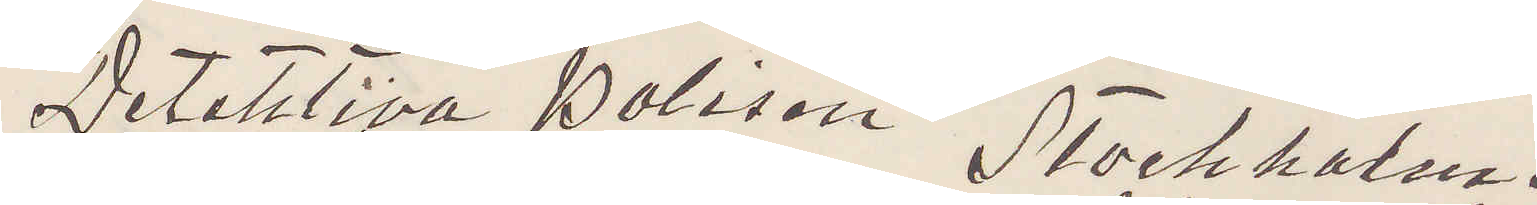Detektiva Polisen Stockholm.
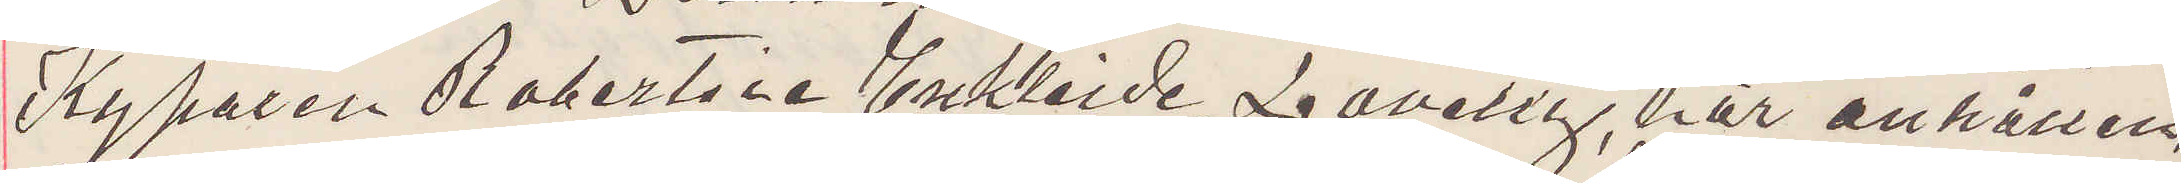Kyparen Robertsie Enkleide Lavelig, här anhållen,
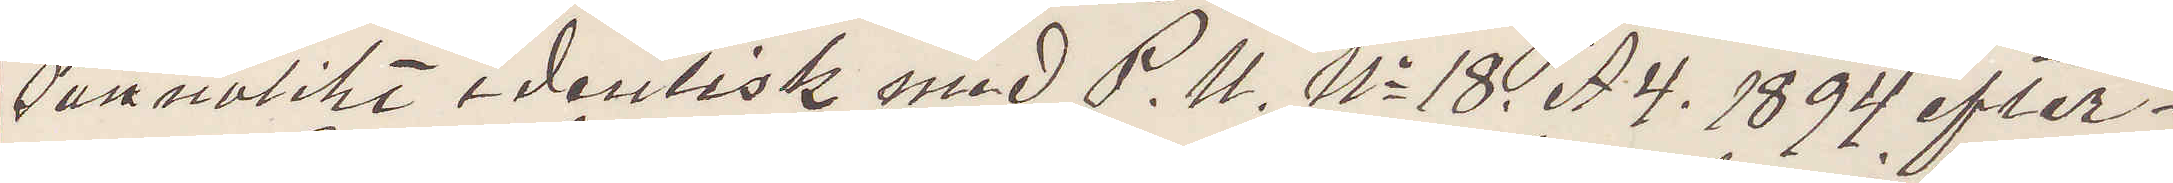sannolikt identisk med P. U. No 18. A4. 1894 efter¬
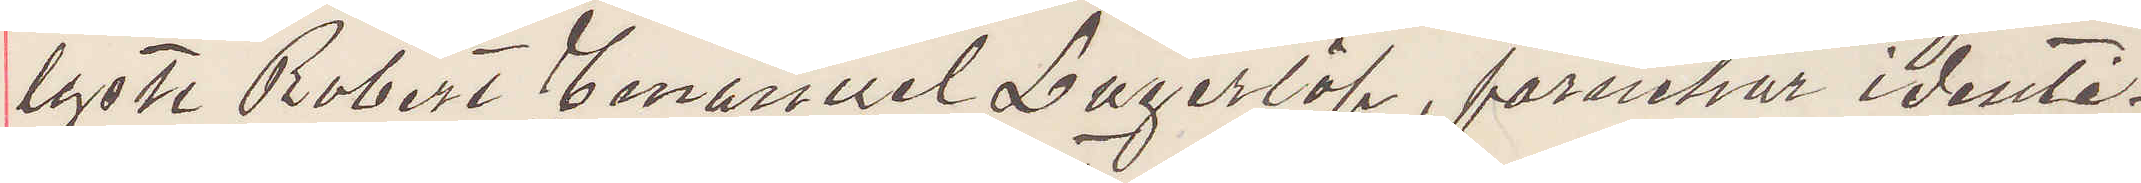lyste Robert Emanuel Lagerlöf, förnekar identi¬
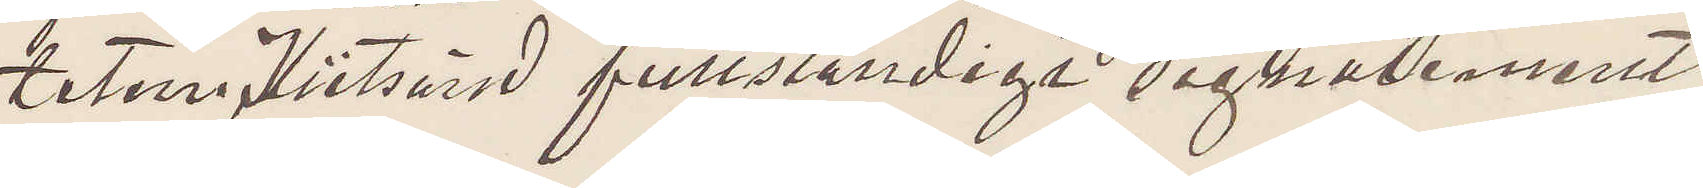teten  Hitsänd fullständigt signalement.
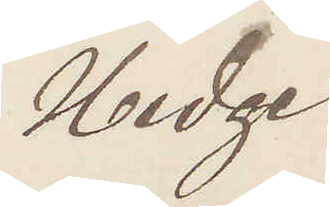Hedge
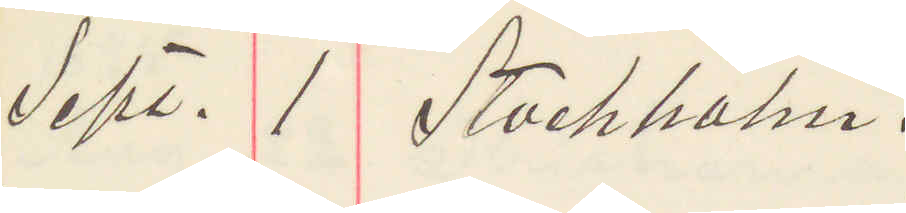Sept. 1 Stockholm.
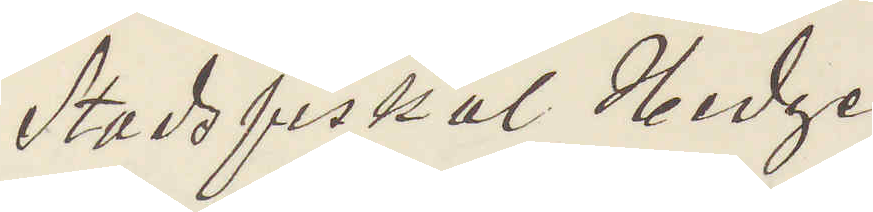Stadsfiskal Hedge
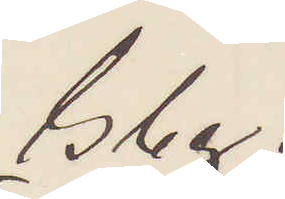Gbg.
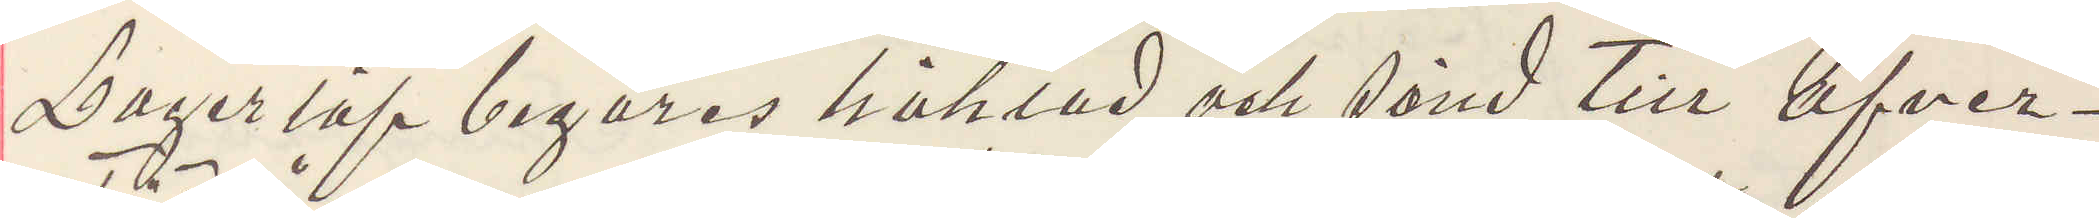Lagerlöf begäres häktad och sänd till öfver¬
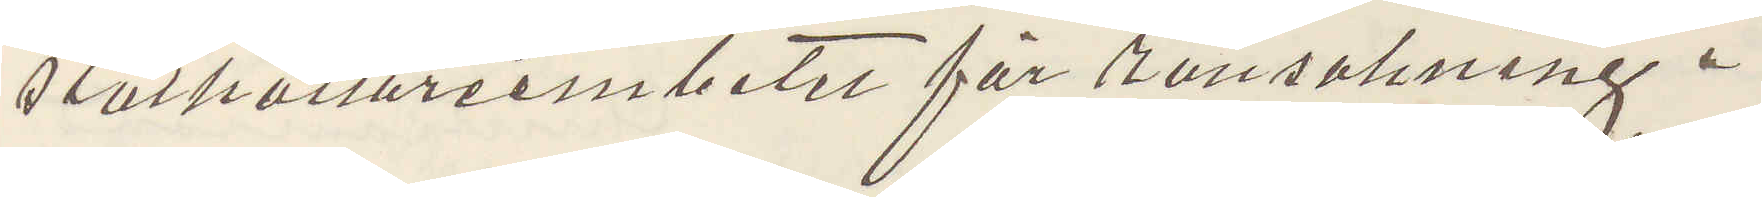ståthållareembetet för ransakning.
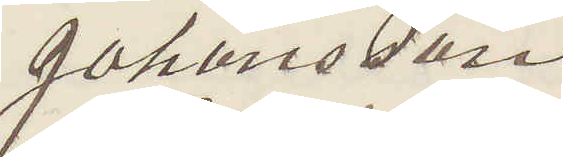Johansson
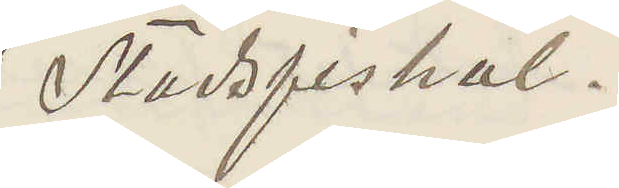Stadsfiskal.
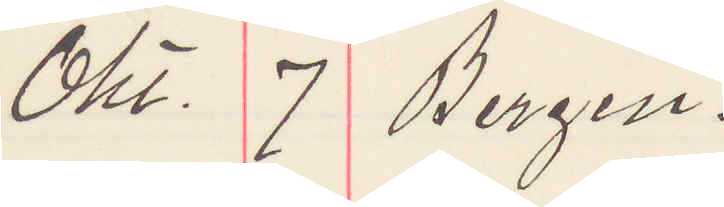Okt 7 Bergen.
